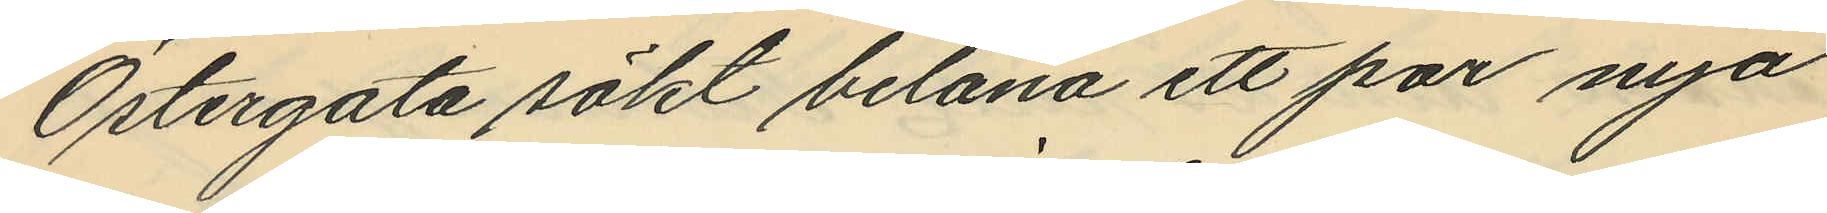Östergata sökt belåna ett par nya
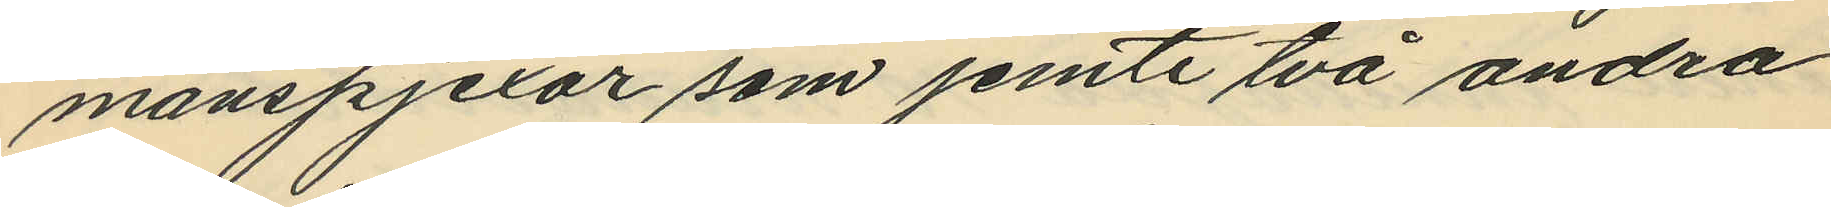manspjexor som jemte två andra
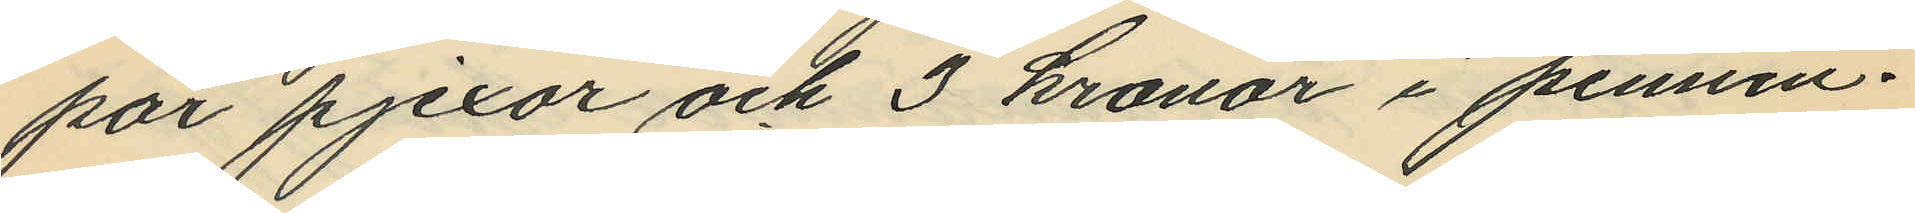par pjexor och 3 kronor i pennin¬
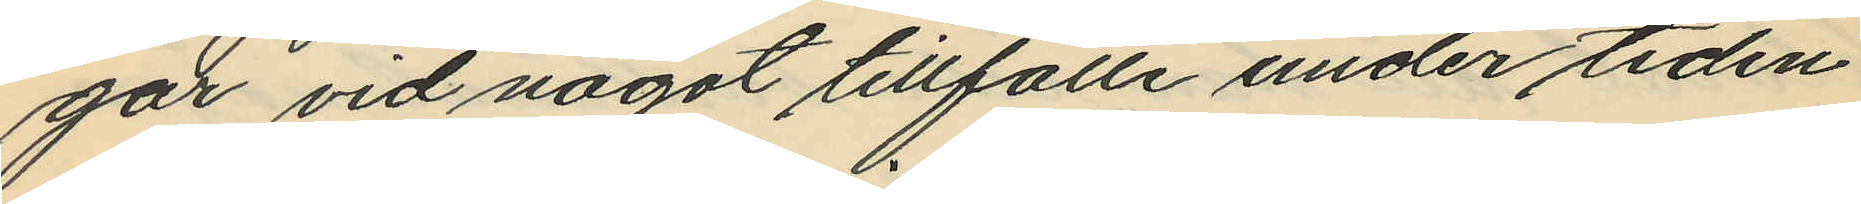gar vid något tillfälle under tiden
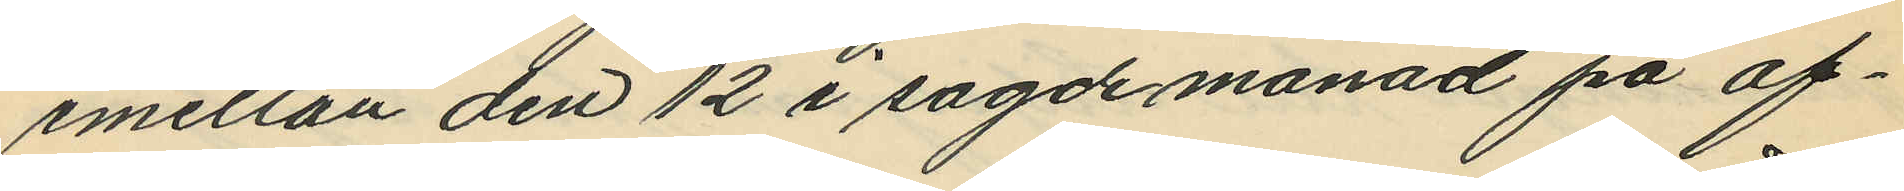emellan den 12 i sagde månad på af¬
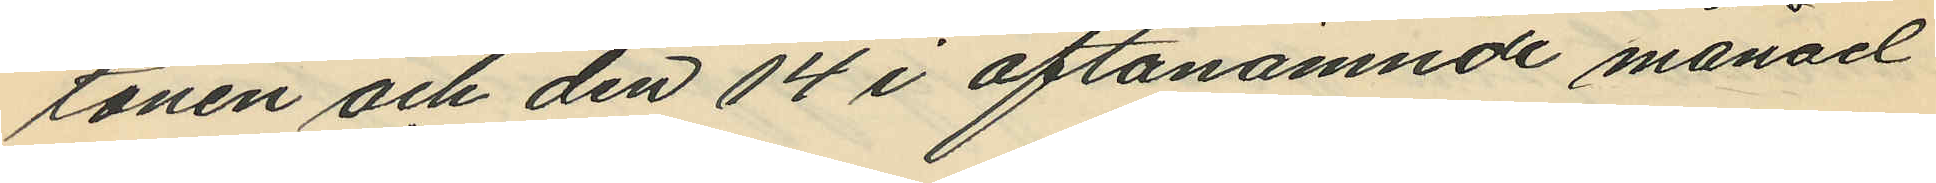tonen och den 14 i oftanämnde månad
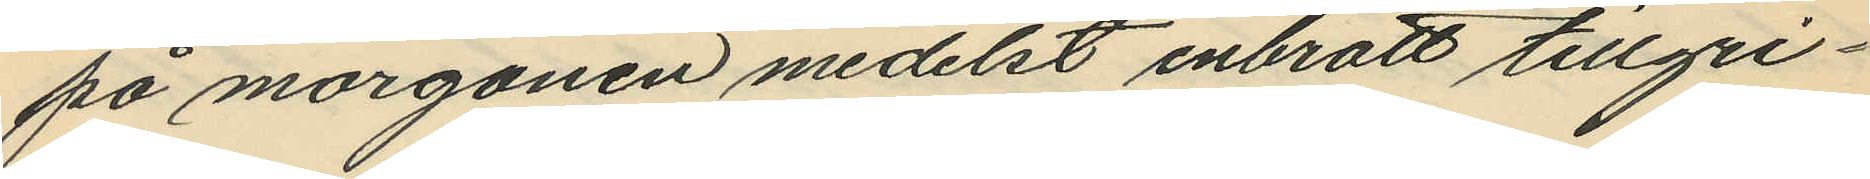på morgonen medelst inbrott tillgri¬
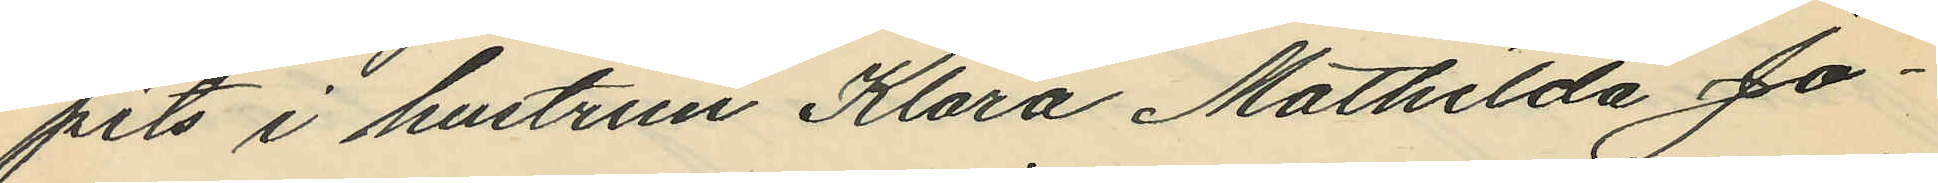pits i hustrun Klara Mathilda Jo¬
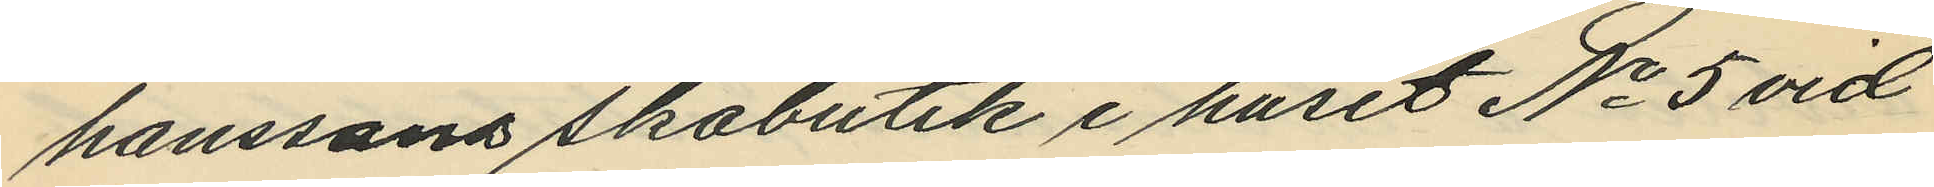hanssons skobutik i huset No 5 vid
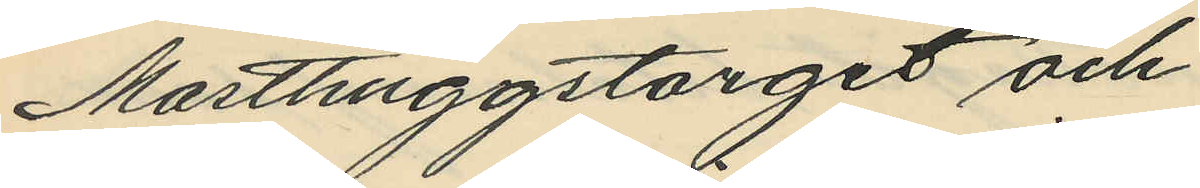Masthuggstorget och
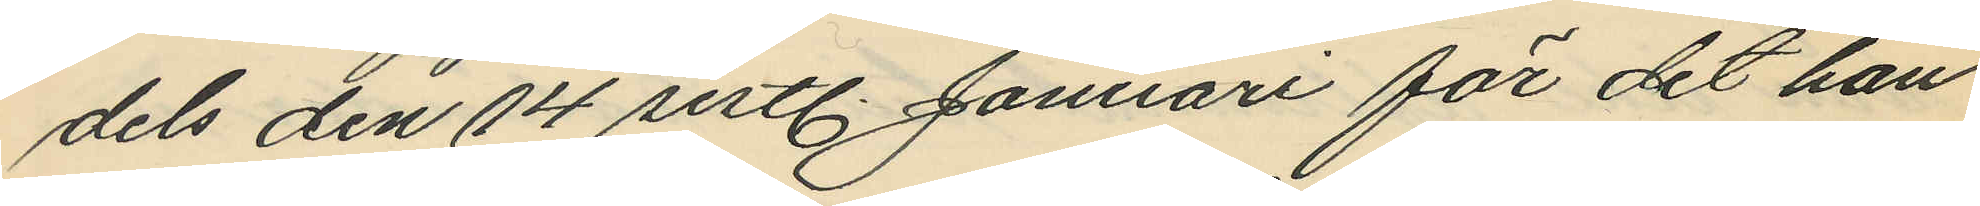dels den 14 sistl. Januari för det han
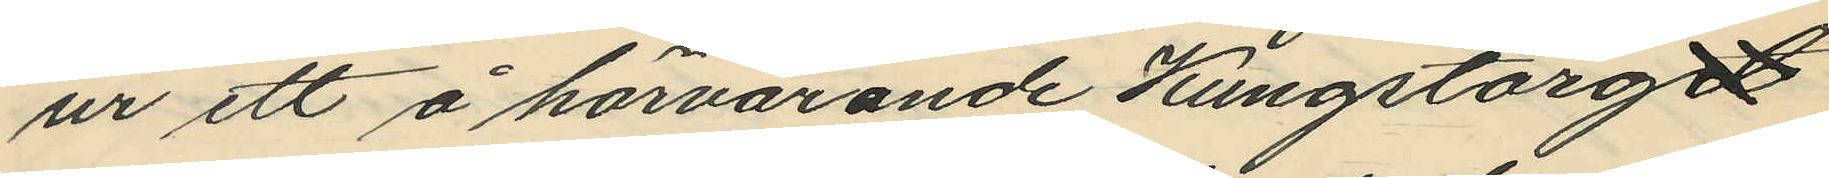ur ett å härvarande Kungstorget
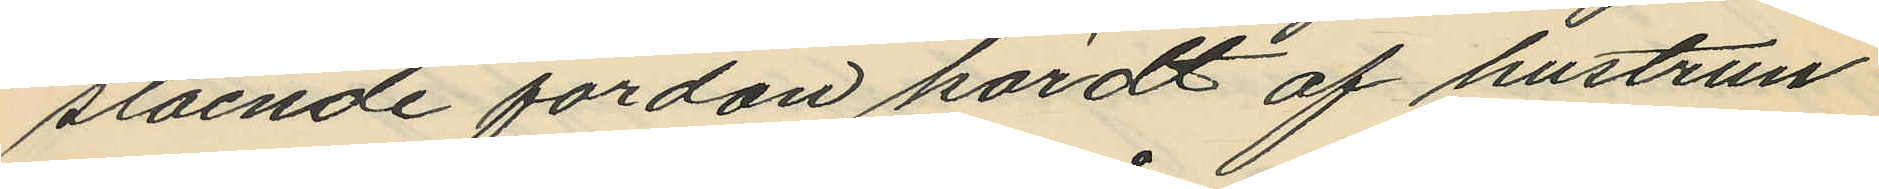stående fordon kördt af hustrun
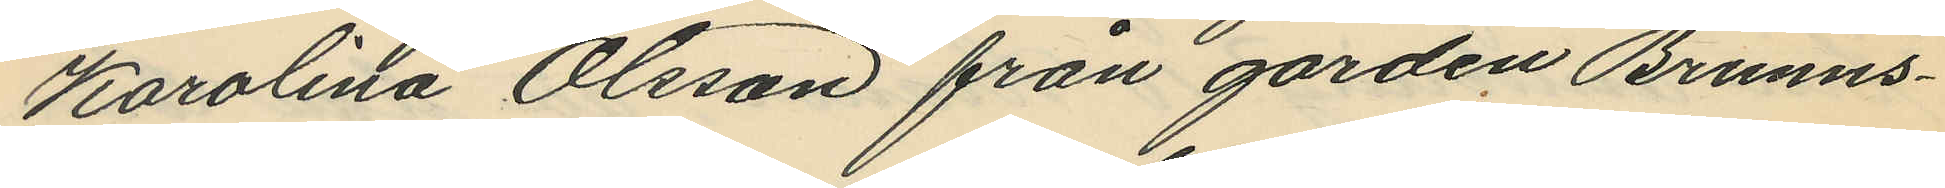Karolina Olsson från gården Brunns¬
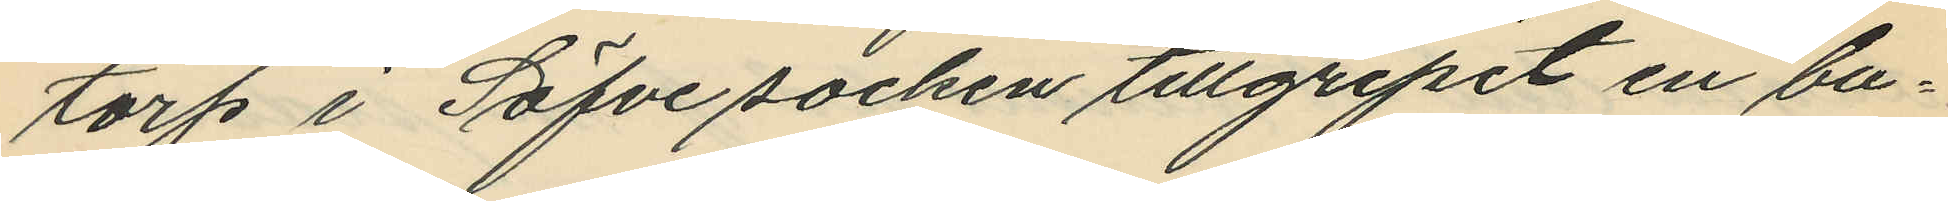torp i Säfve socken tillgripit en bu¬
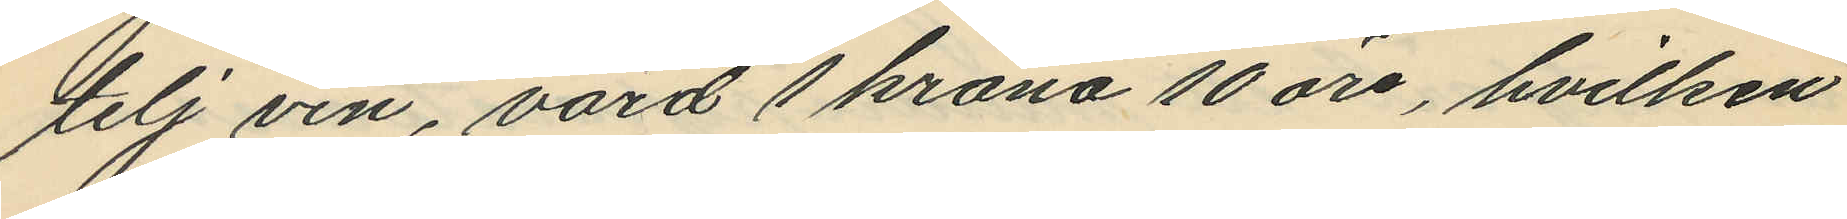telj vin, värd 1 krona 10 öre, hvilken
